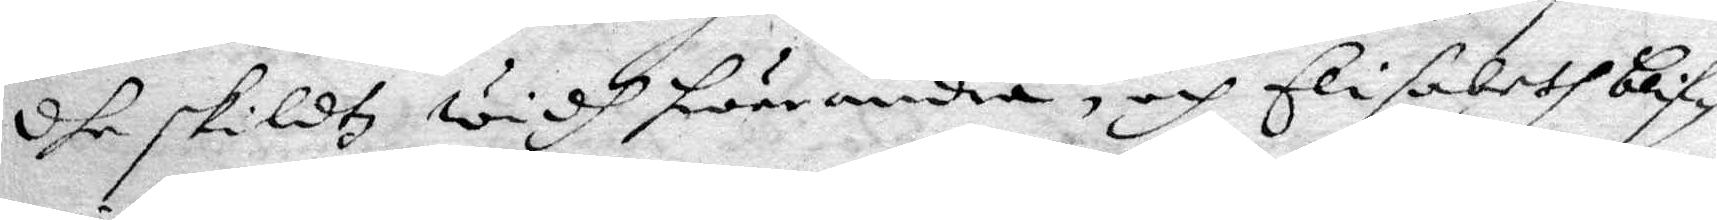dhe skildtz widh hwarandra, och Elisabeth blif¬
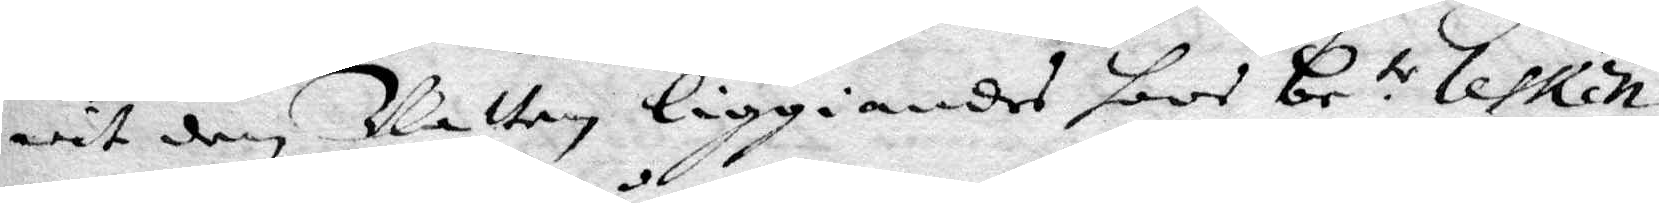wit den Natten liggandes hoos Be.te Lesken
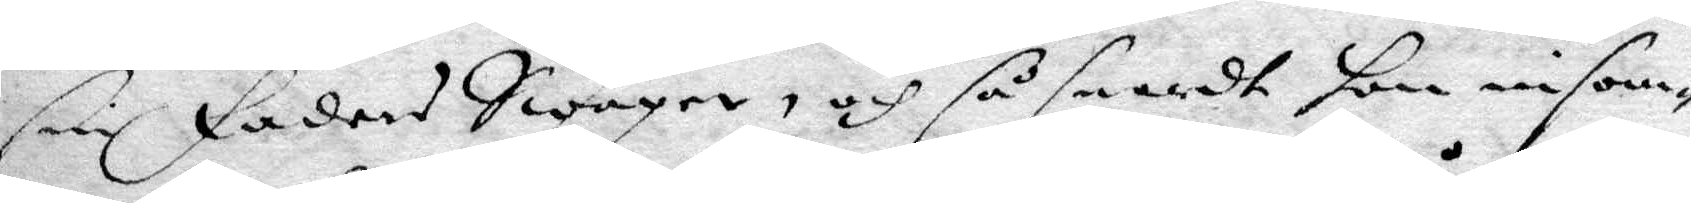sin Fader Swåger, och så snardt hon insom¬
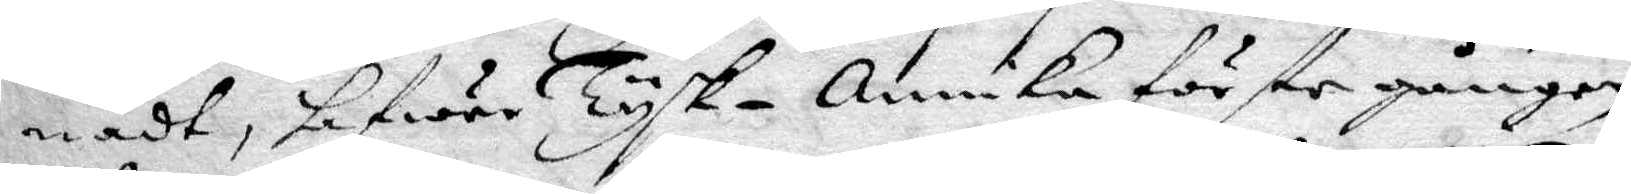nadt, hafwer Tysk-annika förste gången
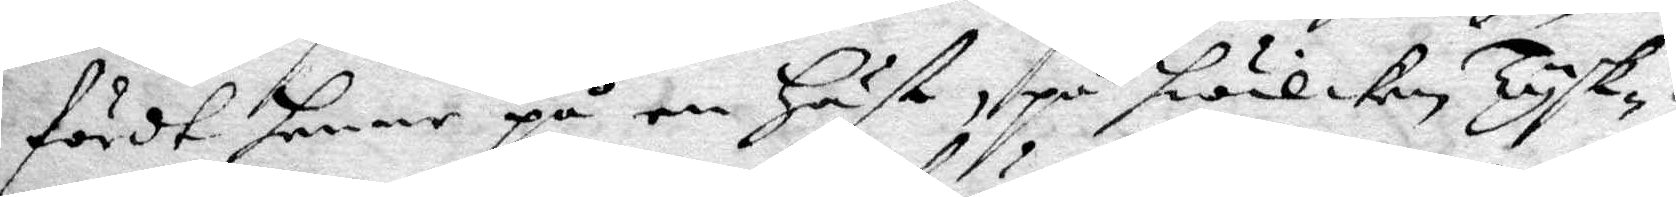först henne på en Höst, på hwilken Tysk¬
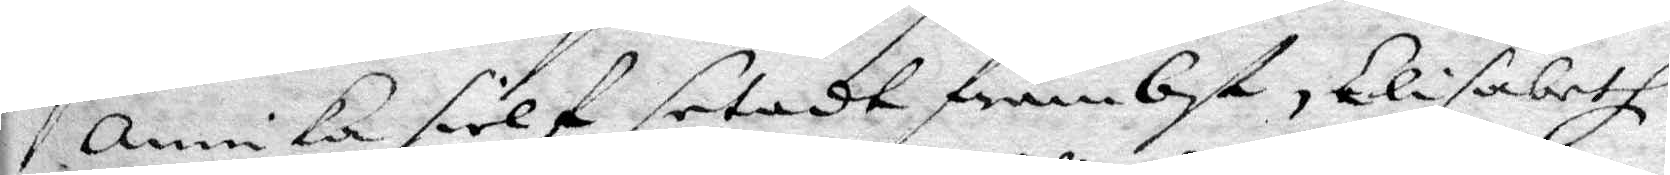annika sielf setadt främbst, Elisabeth
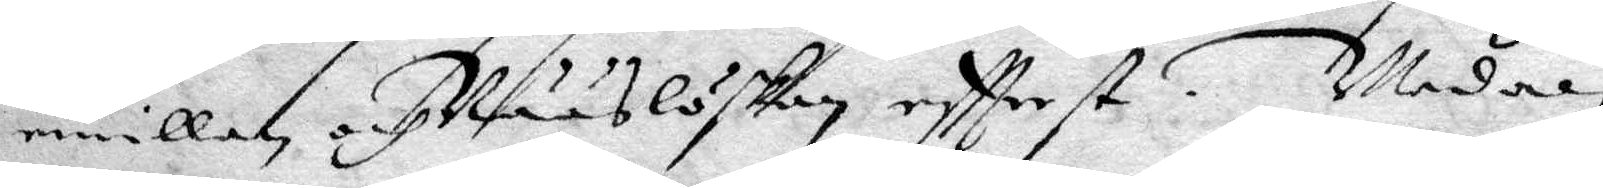emillan och Nääslöskan eftterst. Medan
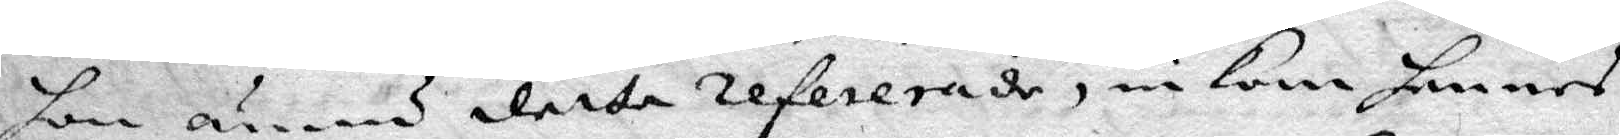hon ännu detta refererade, inkom hennes
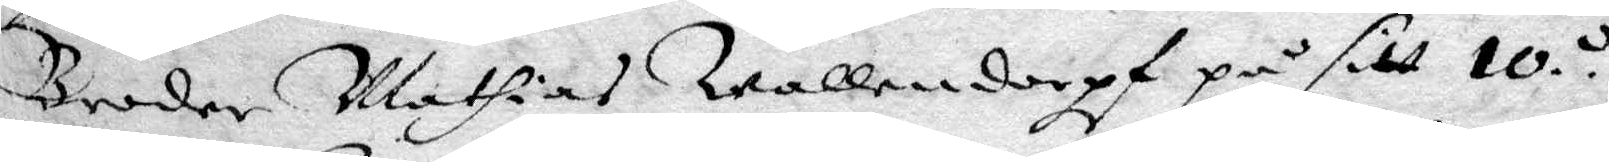Broder Mathias Wallendorpt på sitt 10.de
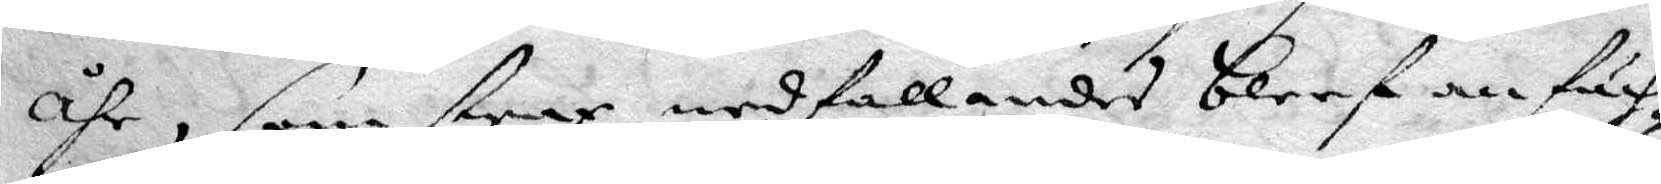åhr, som strax nedfallandes bleef anfäch¬
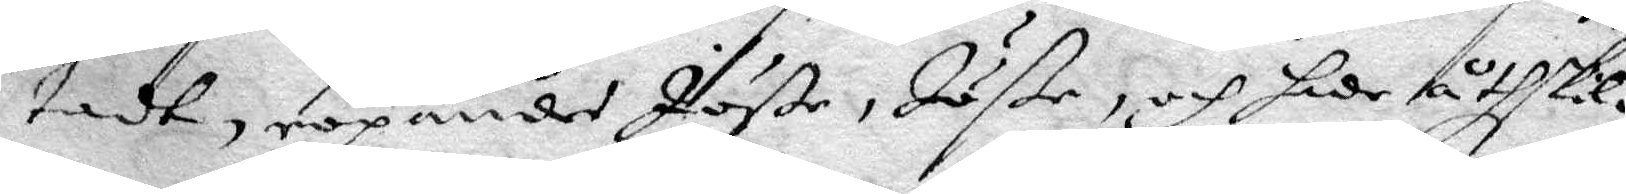tadt, ropandes Jöße, Jöße, och sade åtskil¬
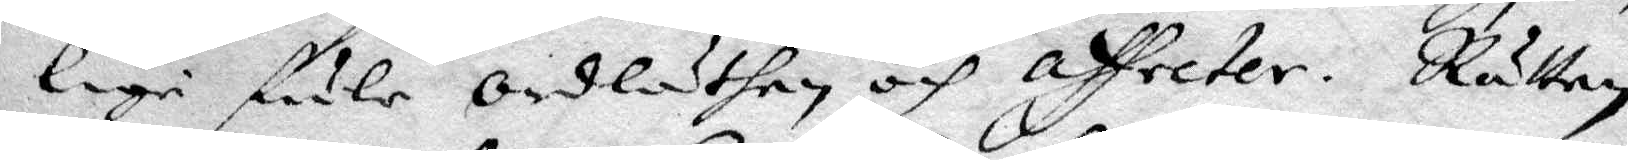lige fule ordläthen, och affecter. Rätten
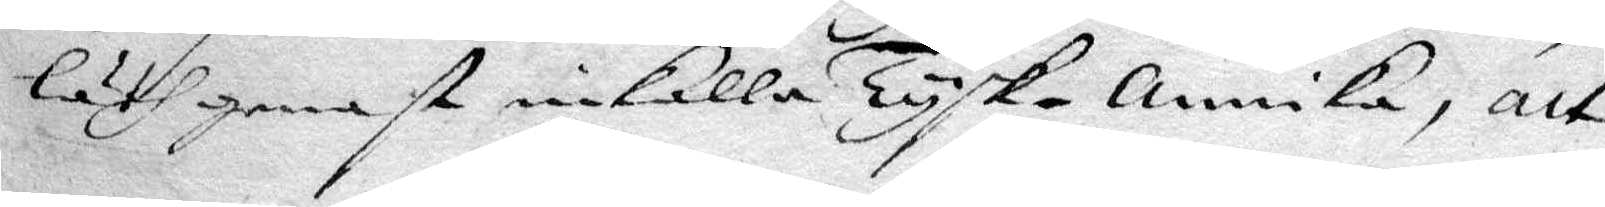läth genast inkalla Tysk-annika, att
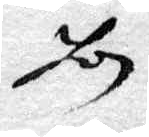hon
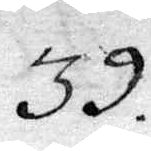39.
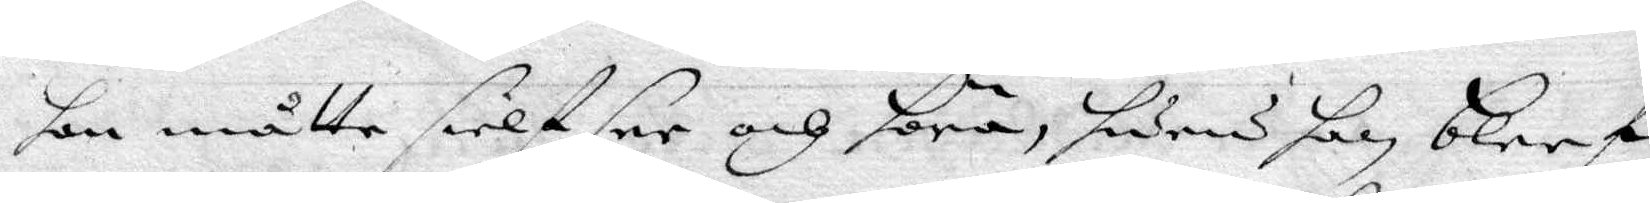hon måtte sielf see och höra, huru han bleef
